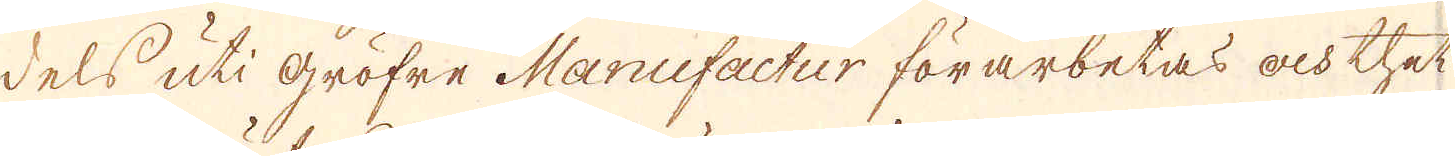dels uti Gröfre Manufactur förarbetas och thet
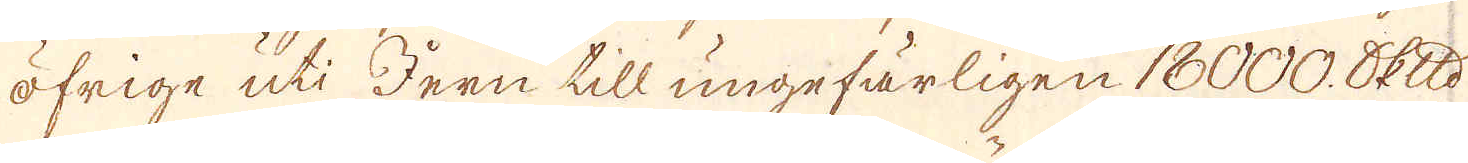öfrige uti Jern till ungefärligen 18000. skeppund
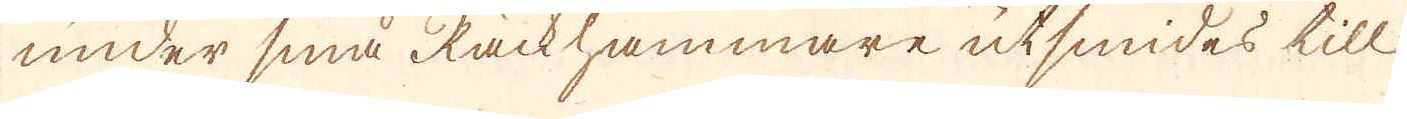under små Räckhammare utsmides till
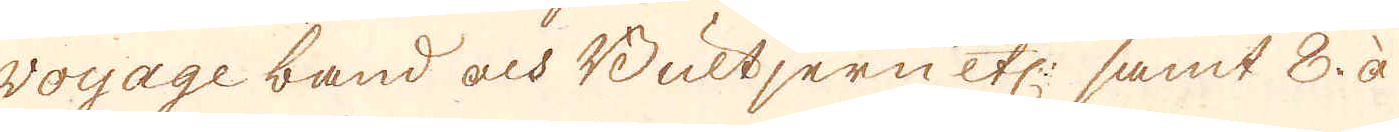Voyage band och Bultjern etc: samt 8. à
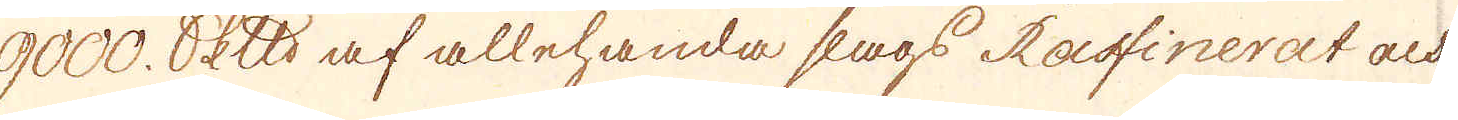9000. skeppund af allehanda slags Raffinerat och
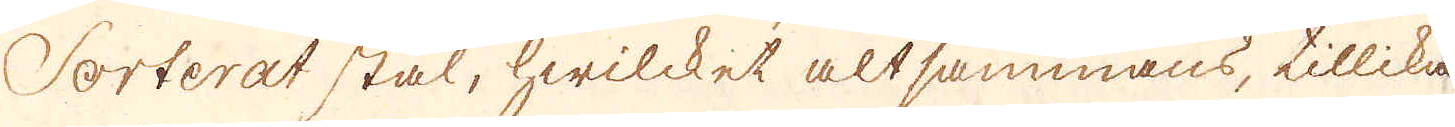Sorterat stål, hwilcket altsammans, tillika
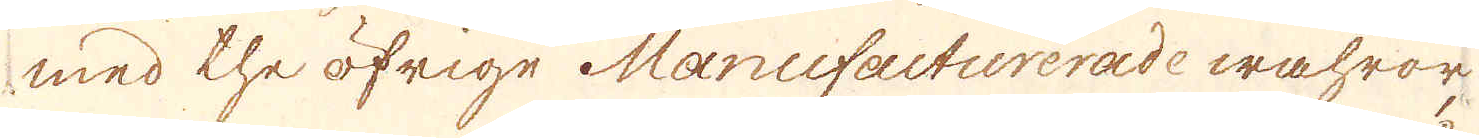med the öfrige Manufacturerade wahror,
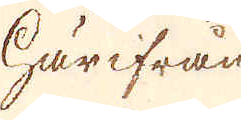Härifrån
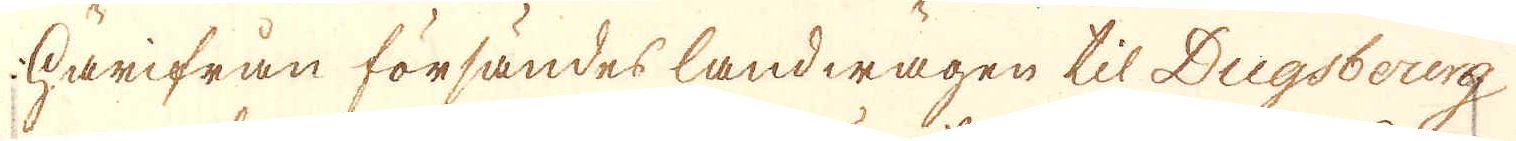Härifrån försändes landwägen til Dugsbourg
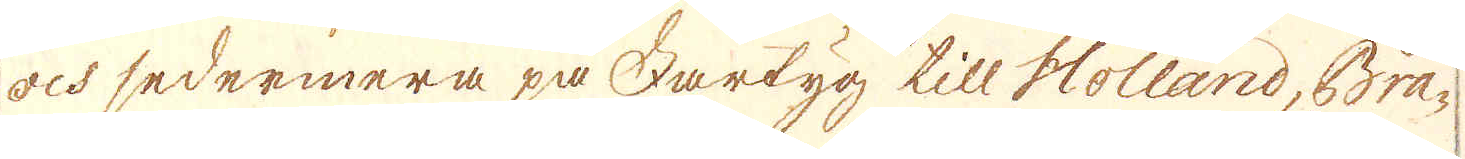och sedermera på Fartyg till Holland, Bra-
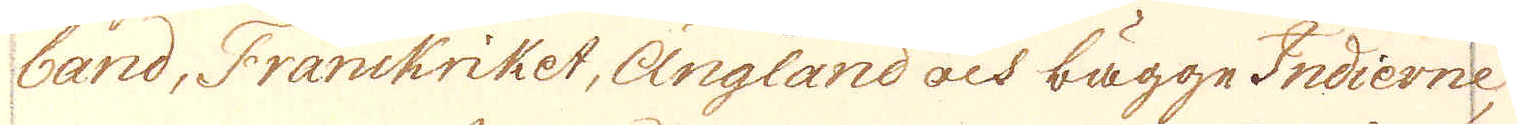band, Franckriket, Ängland och bägge Indierne,
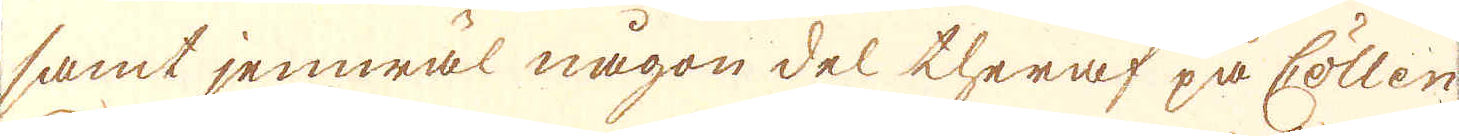samt jemwäl någon del theraf på Cöllen
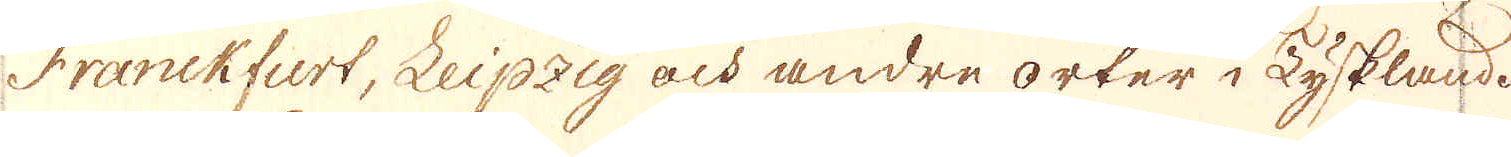Franckfurt, Leipzig och andre orter i Tyskland.
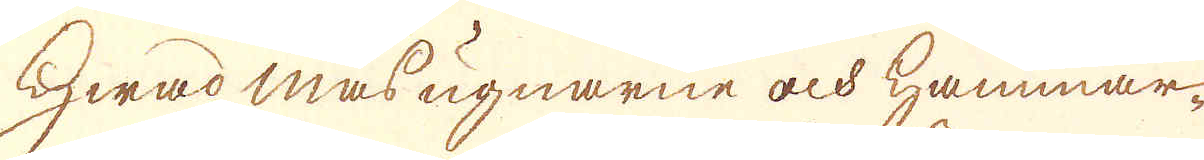Hwad masugnarne och Hammar-
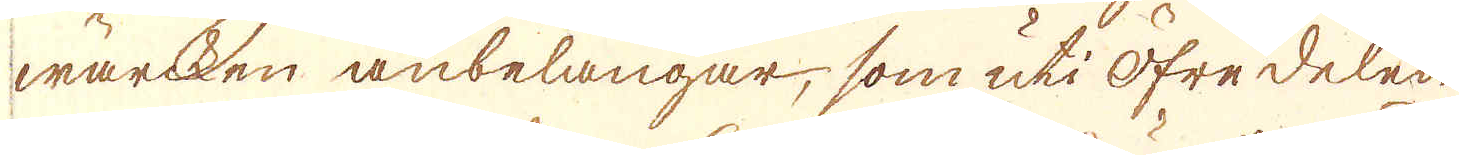wärcken anbelangar, som uti Öfre delen
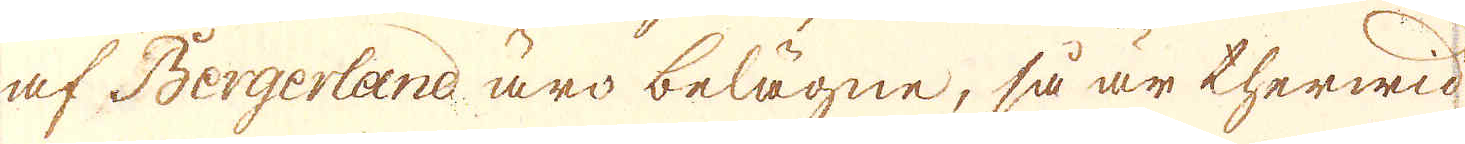af Bergerland äro belägne, så är therwid
